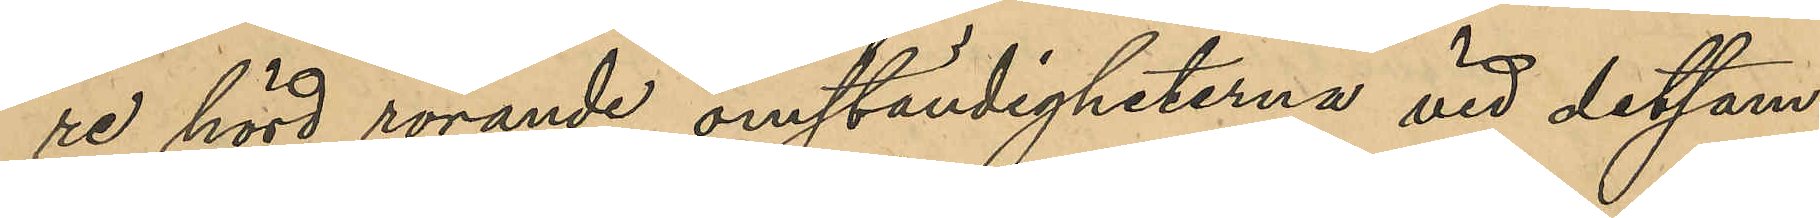re hörd rörande omständigheterna vid detsam¬
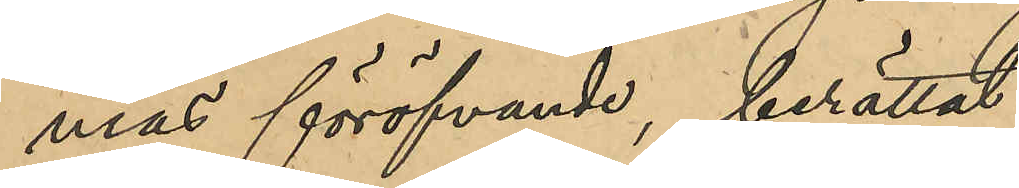ma föröfvade, berättat:
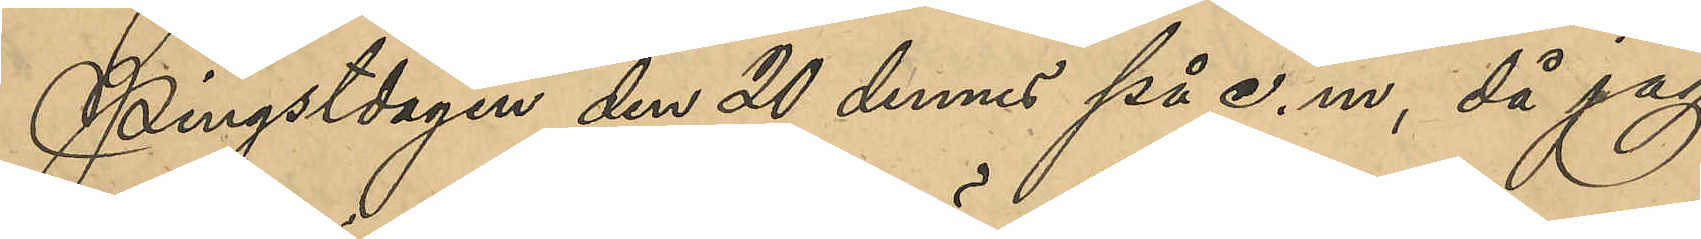Pingstdagen den 20 dennes på e.m, då jag
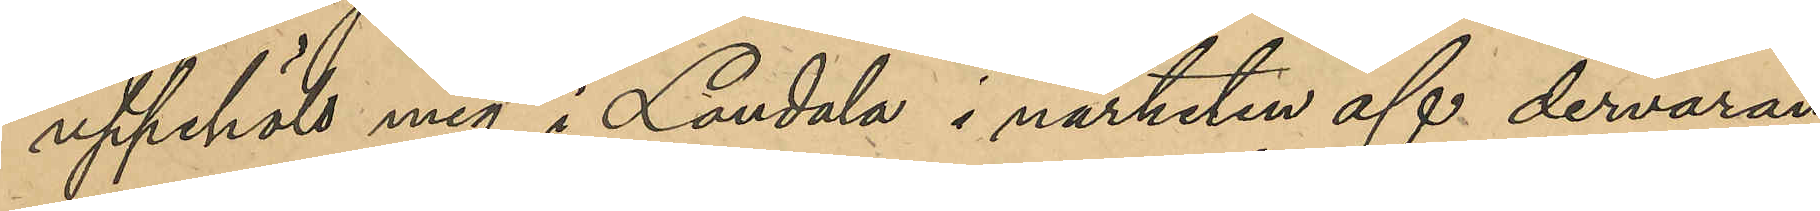uppehöll mig i Landala i närheten af dervaran¬
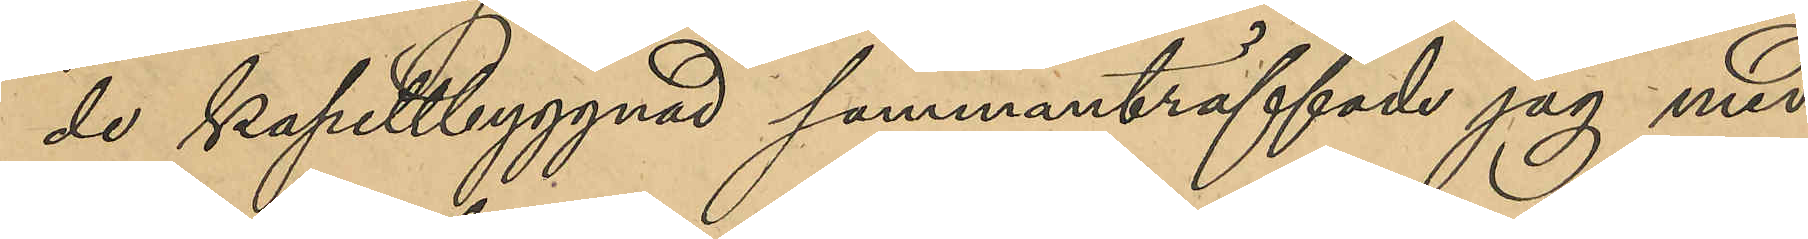de kapellbyggnad sammanräffade jag med
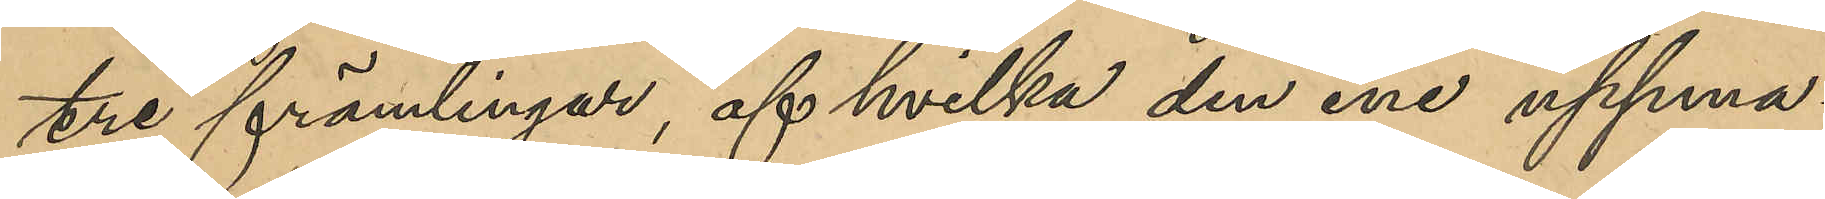tre främlingar, af hvilka den ene uppma¬
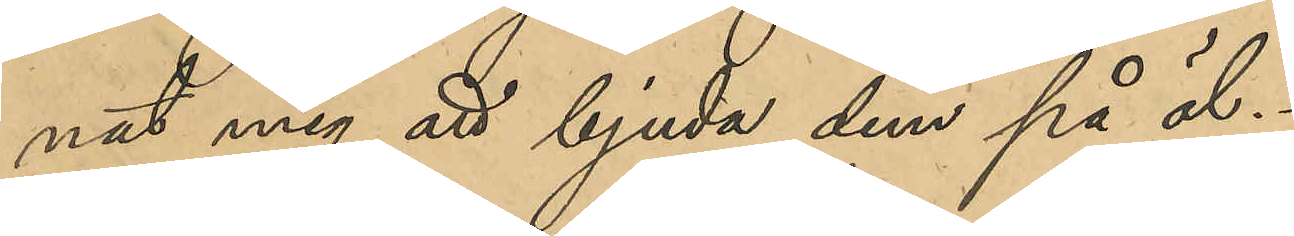nat mig att bjuda dem på öl.
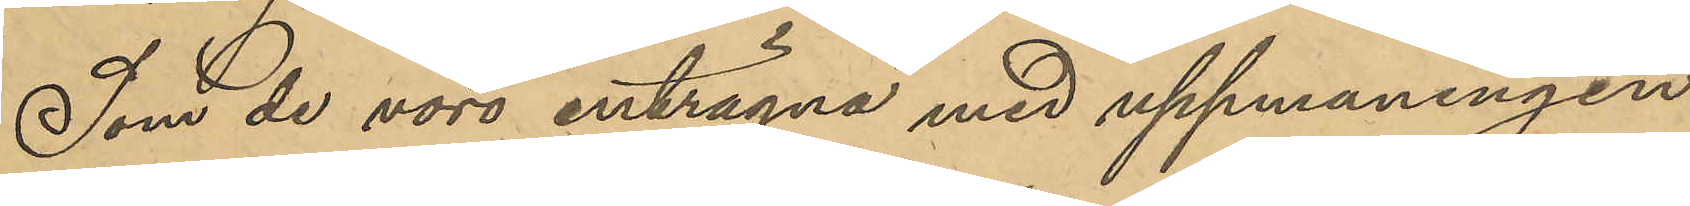Som de vore enträgna med uppmaningen
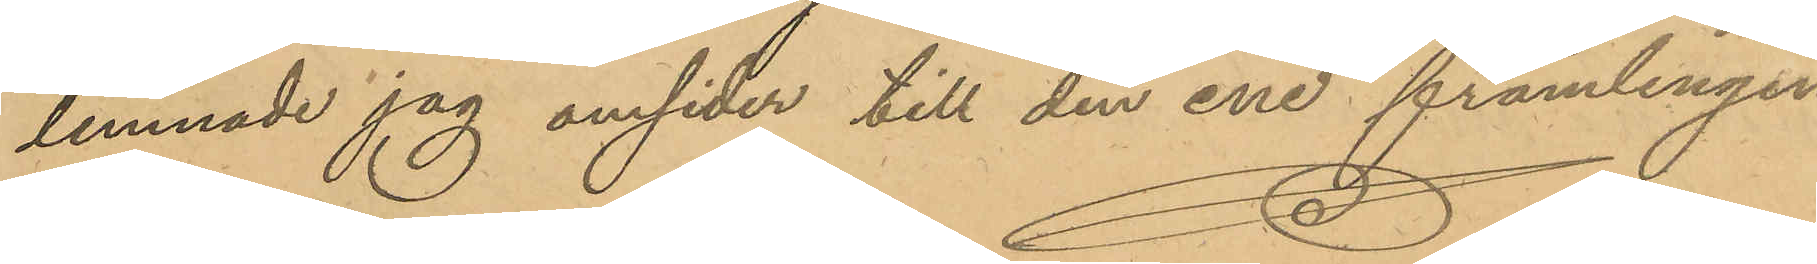lemnade jag omsider till den ene främlingen
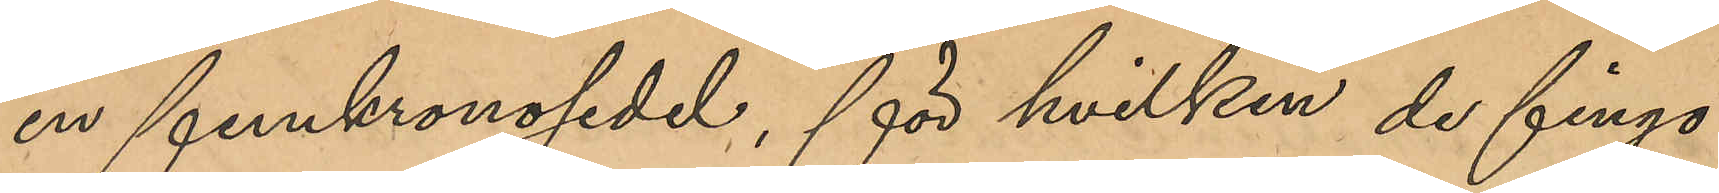en femkronosedel, från hvilken de fingo
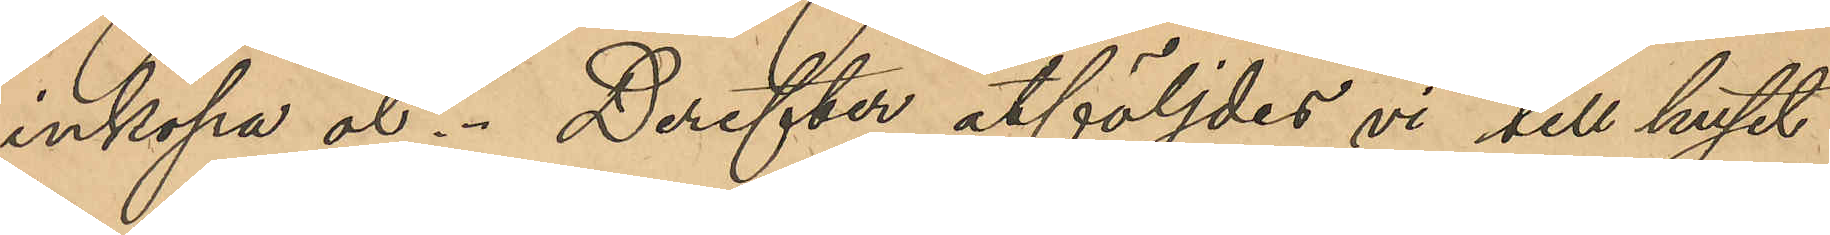inköpa öl. Derefter åtföljdes vi till huset
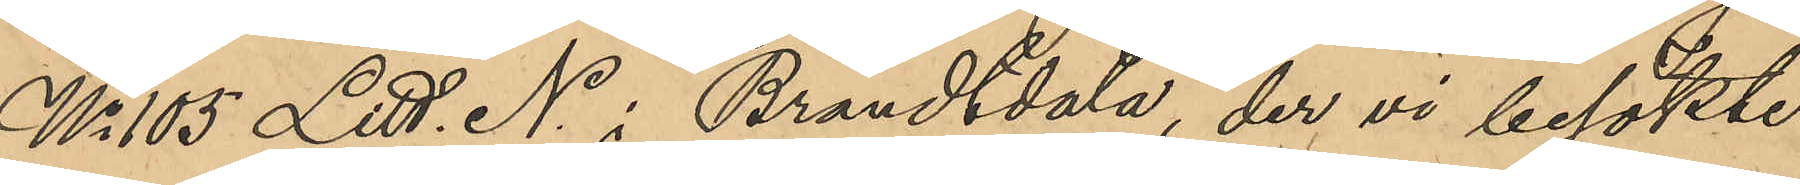No 105 Litt. N i Brandtdala, der vi besökte
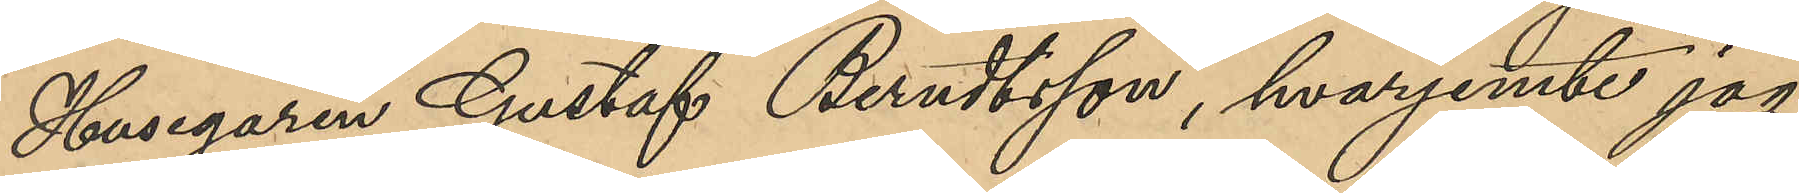Husegaren Gustaf Berndtsson, hvarjemte jag
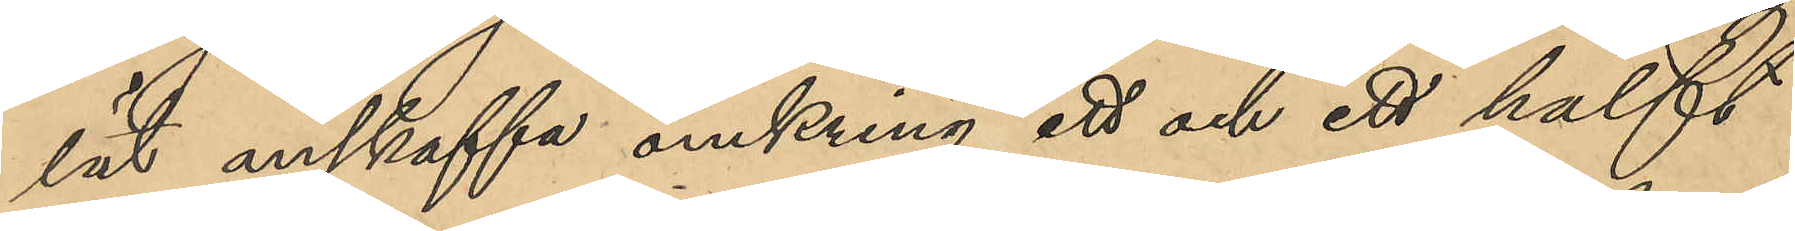lät anskaffa omkring ett och ett halft
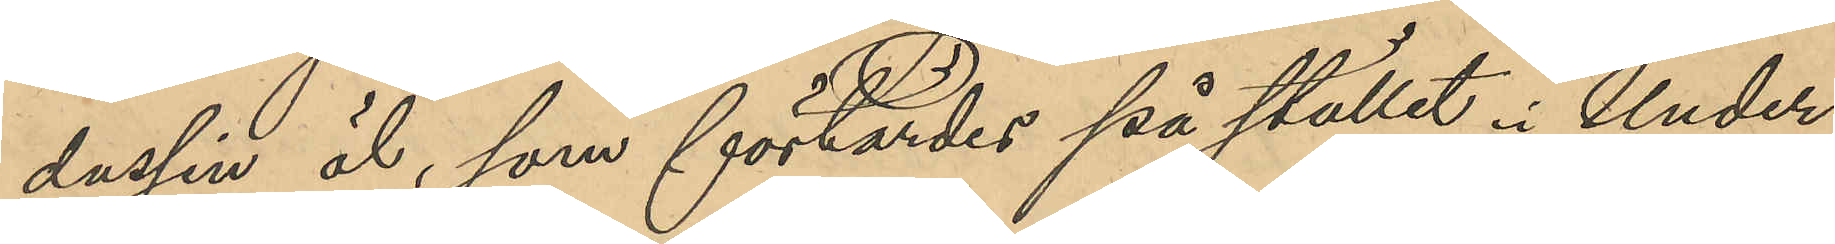dussin öl, som förtärdes på stället. Under
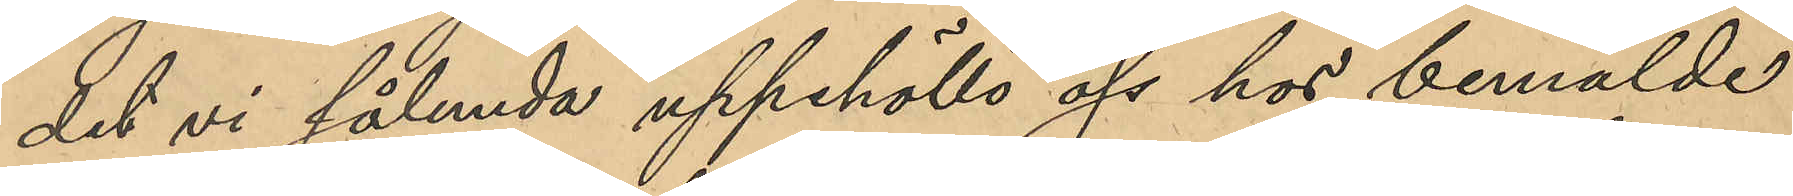det vi sålunda uppehöllo oss hos bemälde
